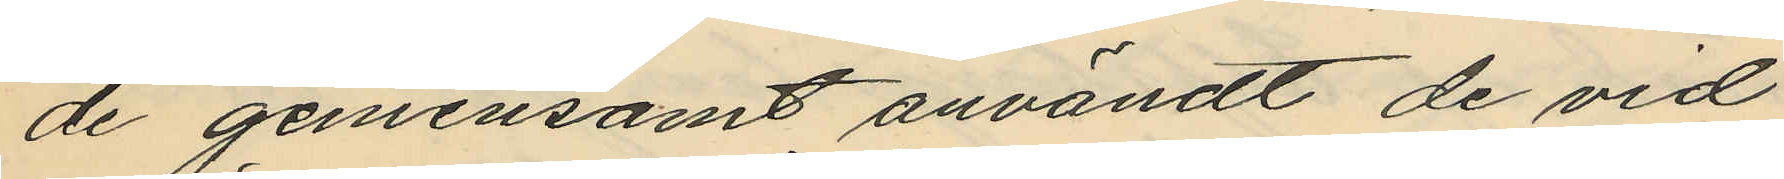de gemensamt användt de vid
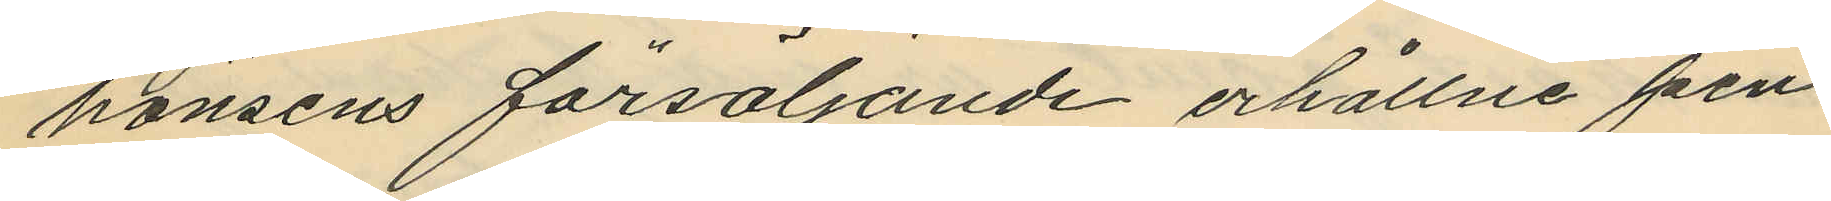hönsens försäljande erhållne pen¬
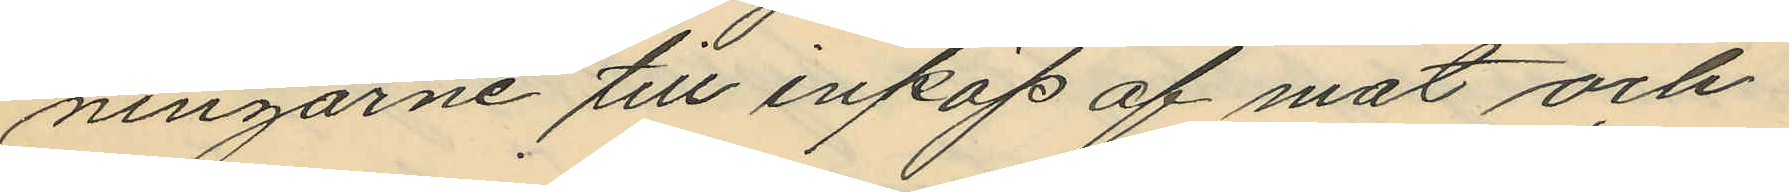ningarne till inköp af mat och
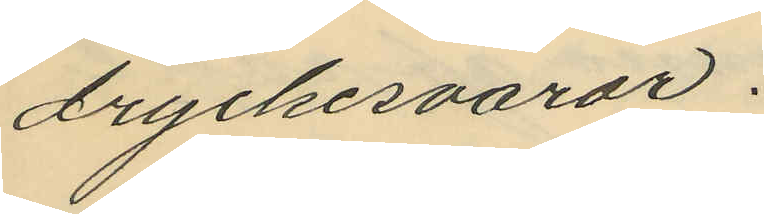dryckesvaror.
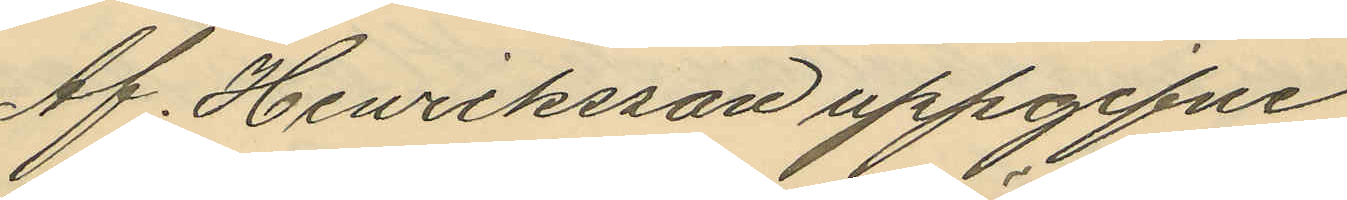Af Henriksson uppgifne
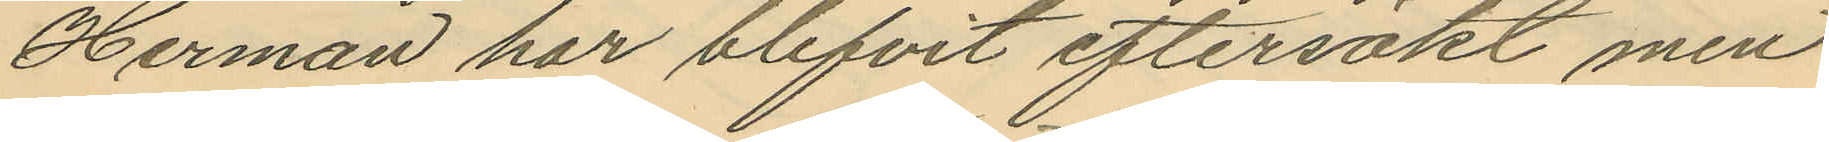Herman har blifvit eftersökt men
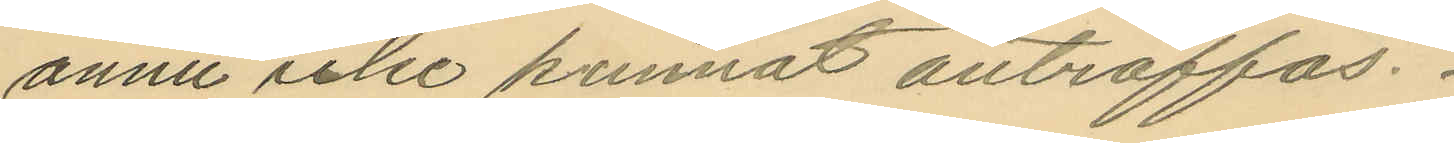ännu icke kunnat anträffas.
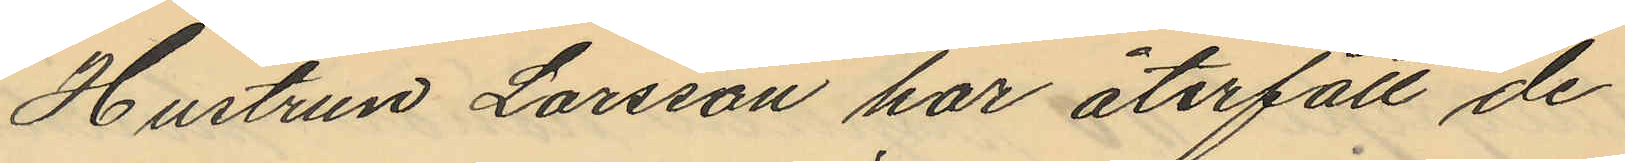Hustrun Larsson har återfått de
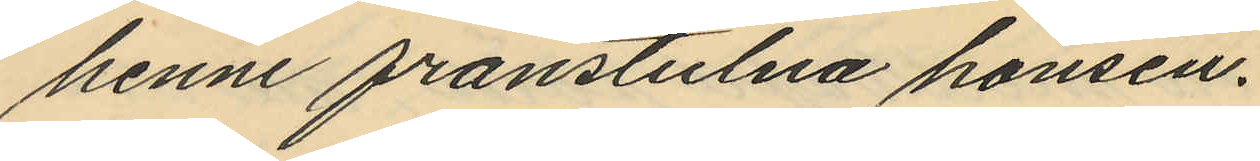henne frånstulna hönsen.
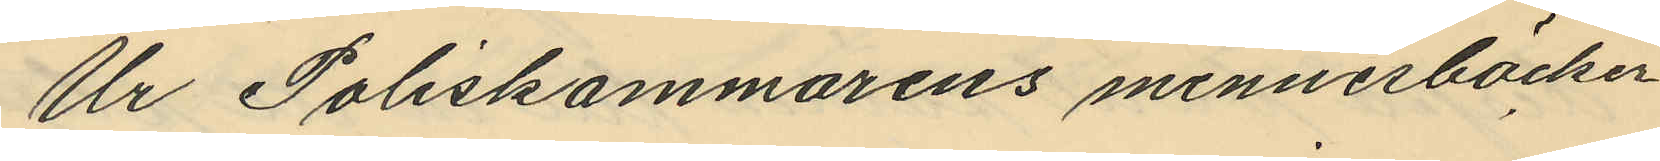Ur Poliskammarens minnesböcker
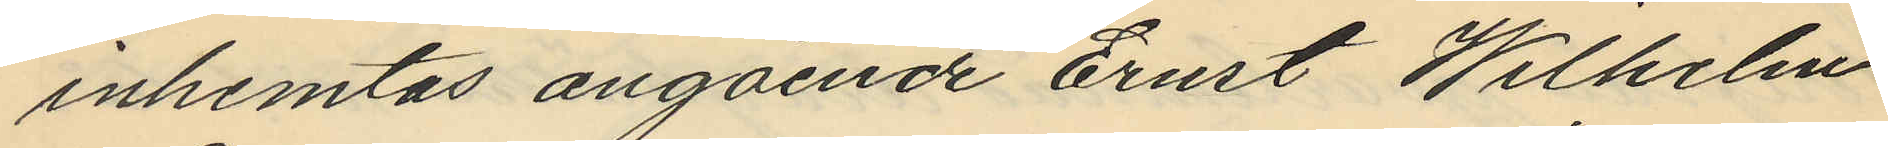inhemtas angående Ernst Wilhelm
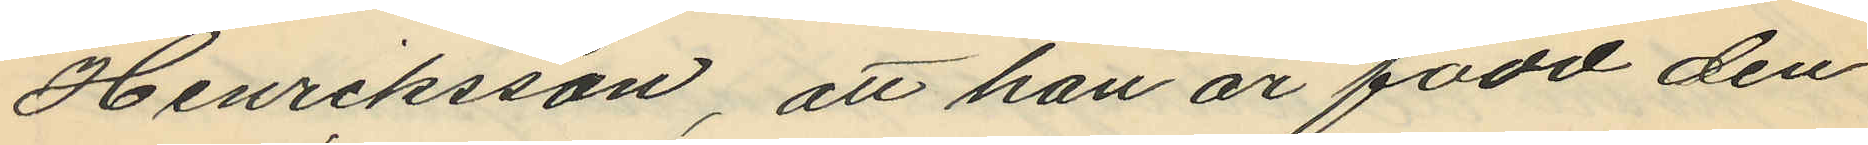Henriksson, att han är född den
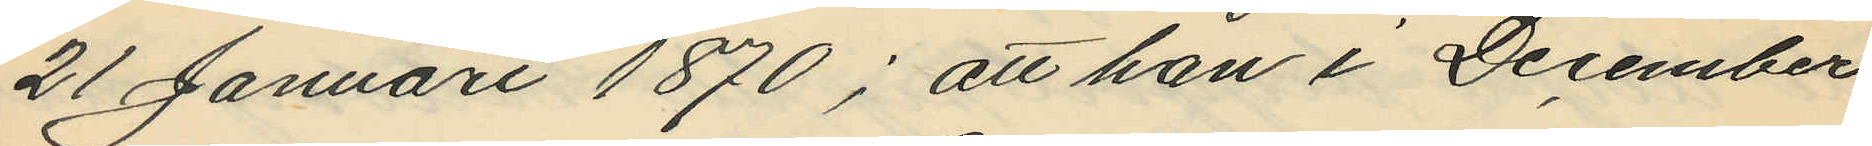21 Januari 1870; att han i December
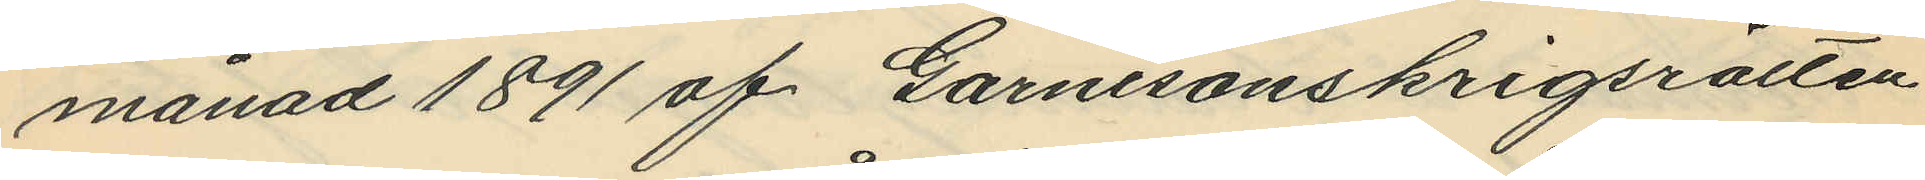månad 1891 af Garnisonskrigsrätten
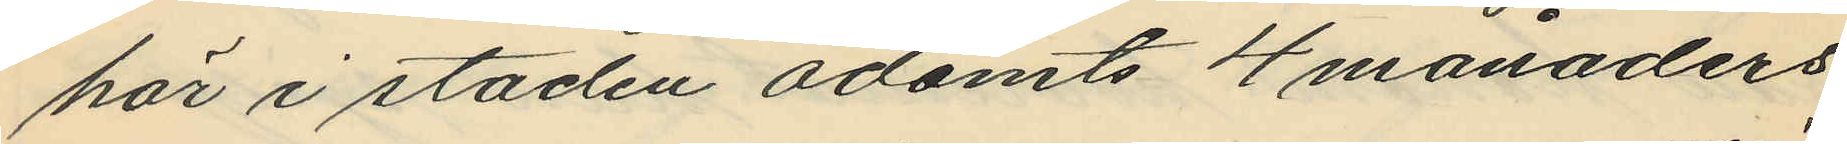här i staden ådömts 4 månaders
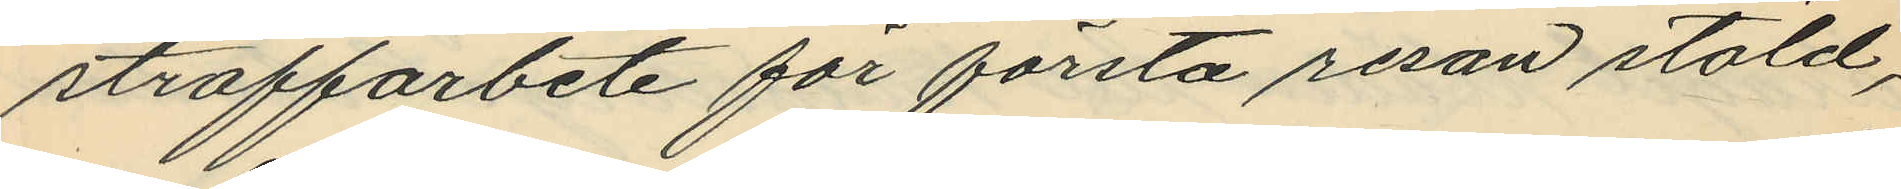straffarbete för första resan stöld,
